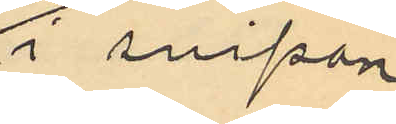i snipan
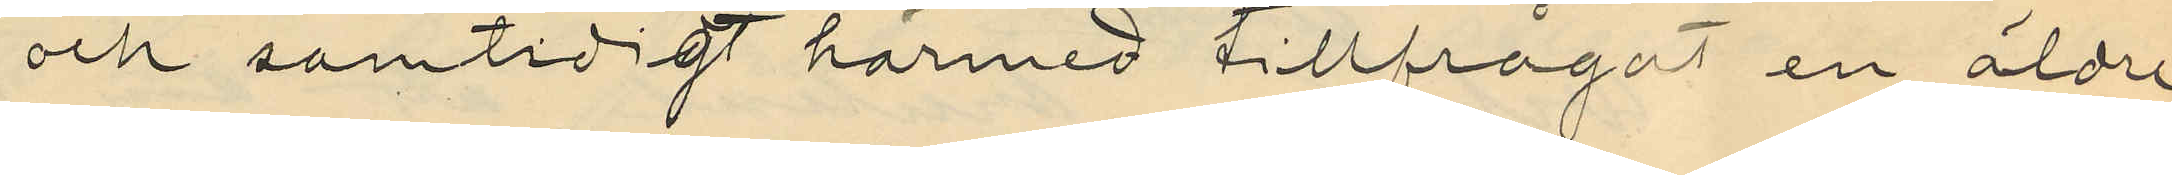och samtidigt härmed tillfrågat en äldre
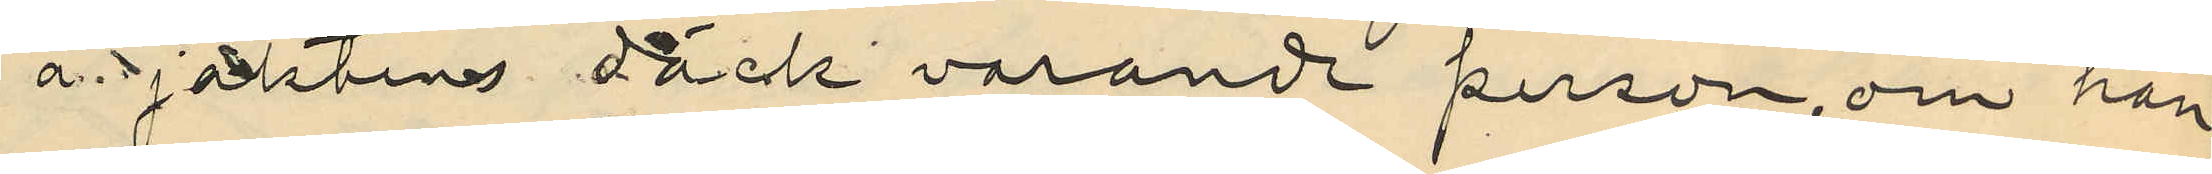å jaktens däck varande person, om han
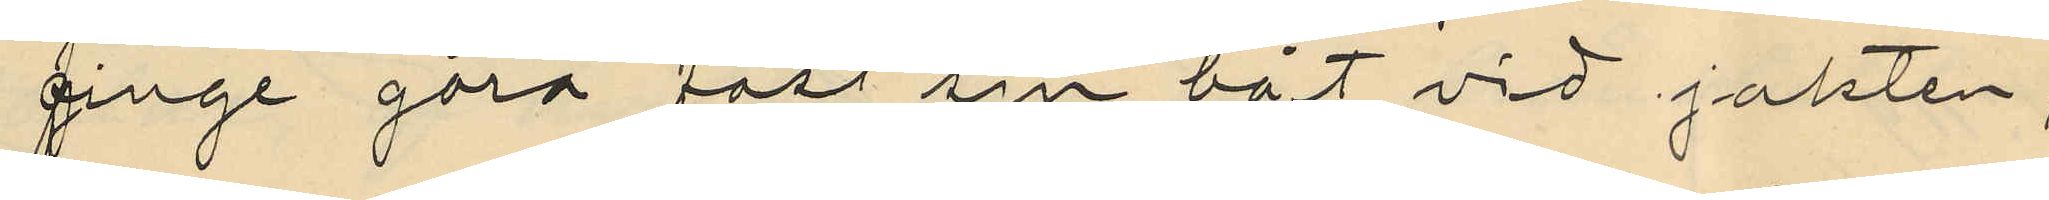finge göra fast sin båt vid jakten;
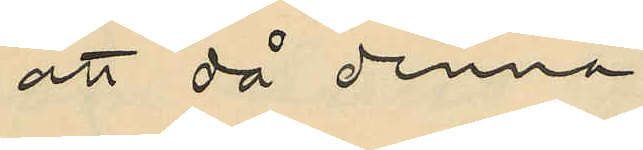att då denna
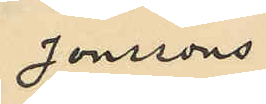Jonssons
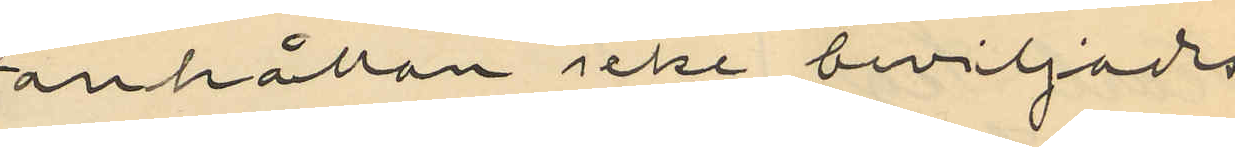anhållan icke beviljades
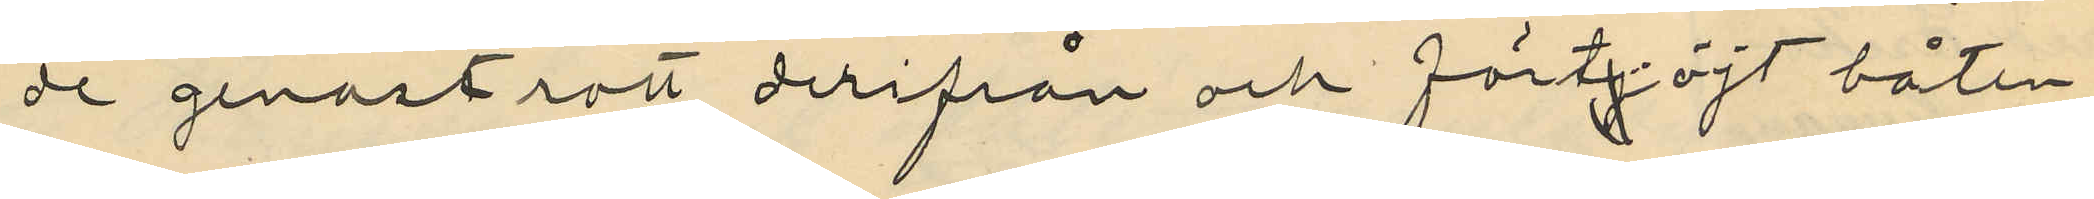de genast rott derifrån och förtjöjt båten
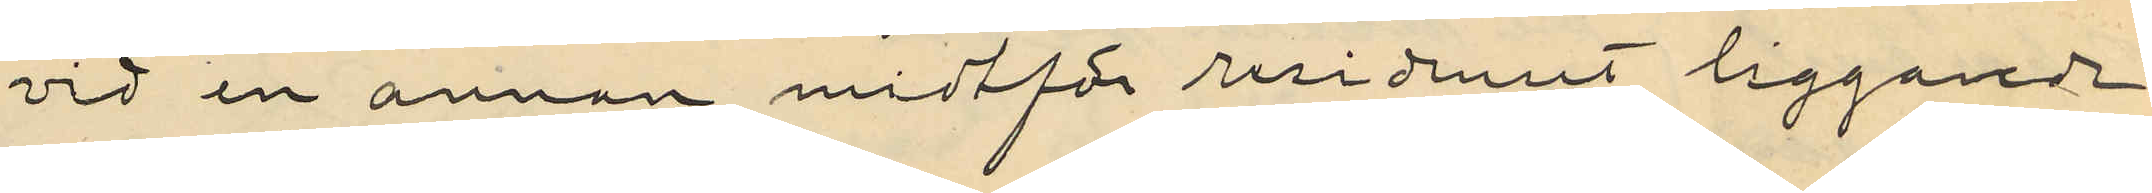vid en annan midtför residenset liggande
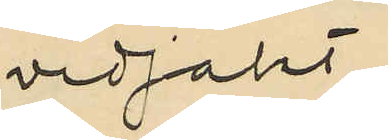vedjakt;
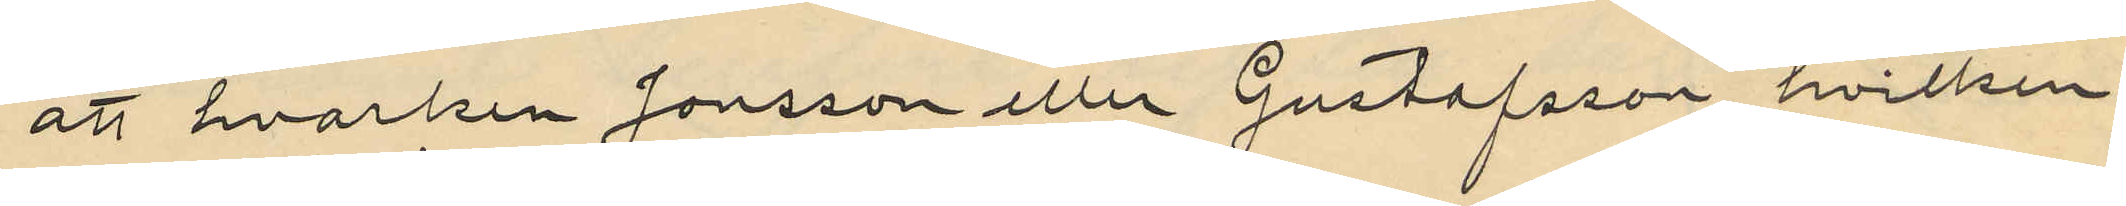att hvarken Jonsson eller Gustafsson, hvilken
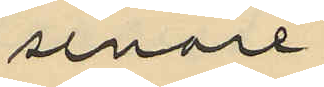senare
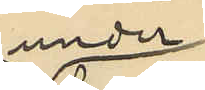under
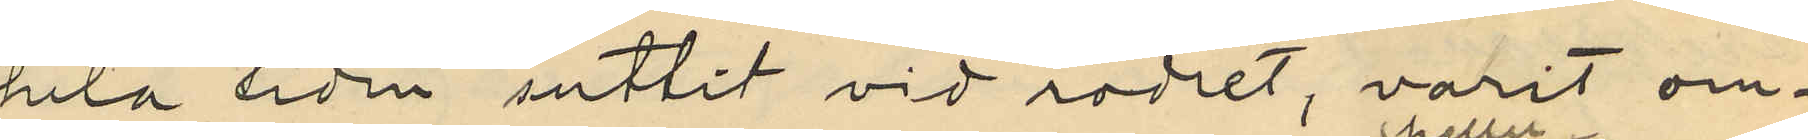hela tiden suttit vid rodret, varit om¬
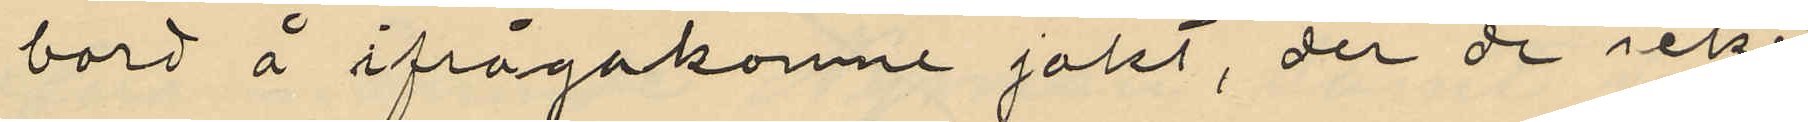bord å ifrågakomne jakt, der de icke
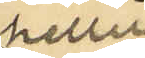heller
